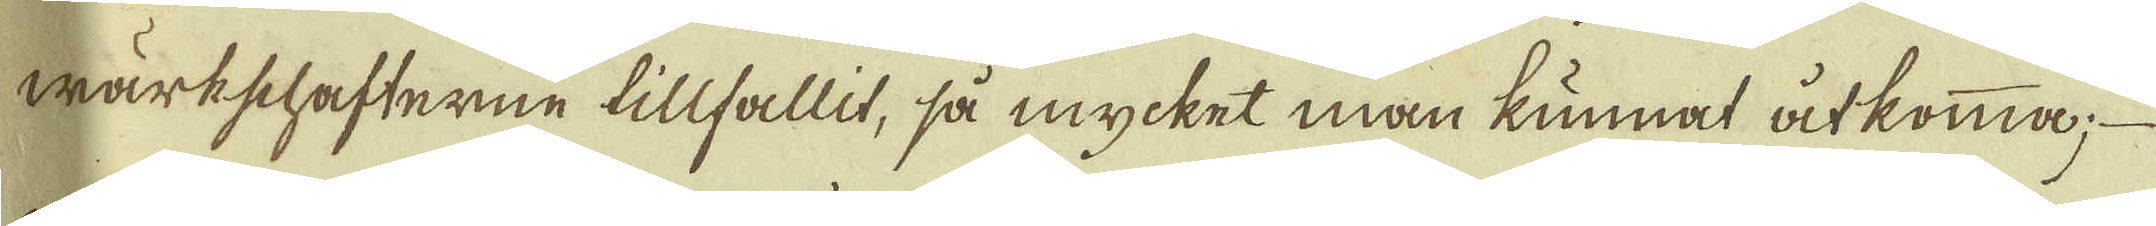wärkschafterne tillfallit, så mycket man kunnat åtkomma; 
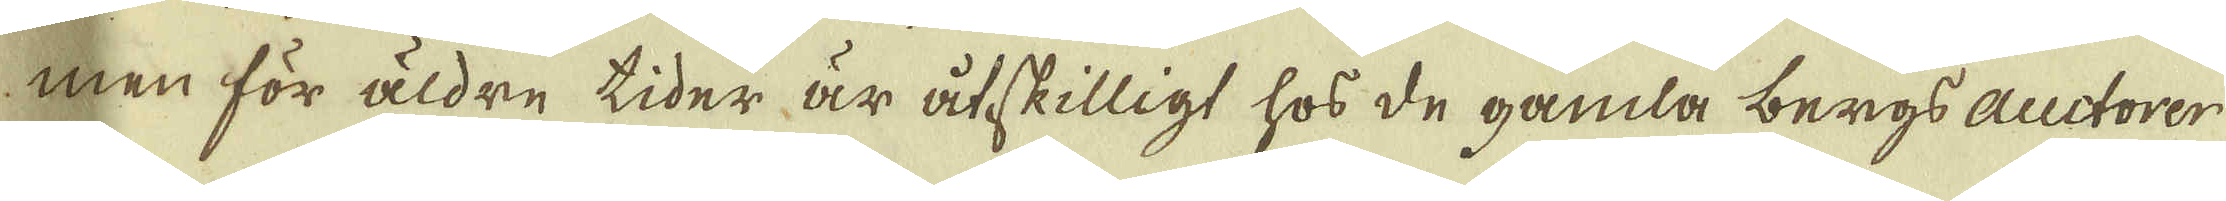men för äldre tider är åtskilligt hos de gamla bergs auctorer
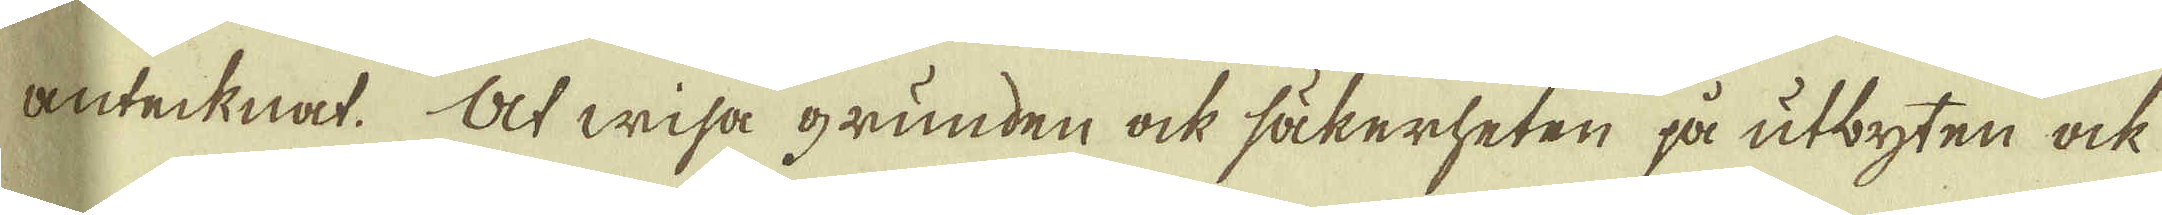antecknat. At wisa grunden ock säkerheten på utbyten ock
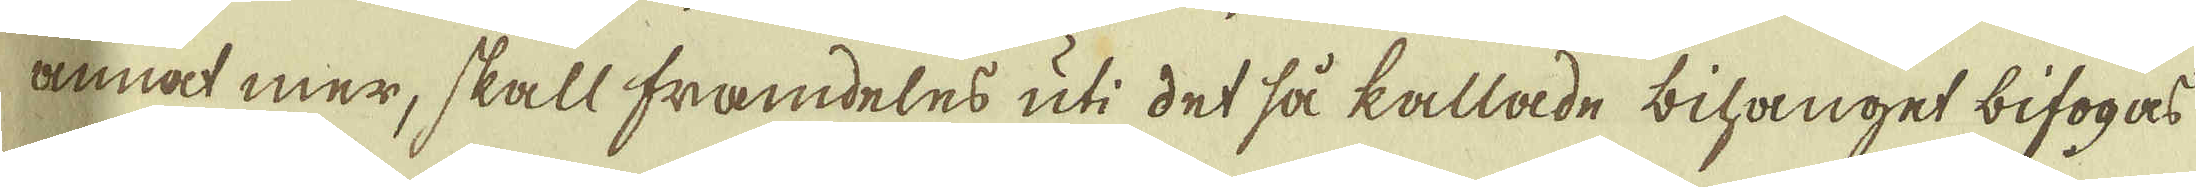annat mer, skall framdeles uti det så kallade bihanget bifogas
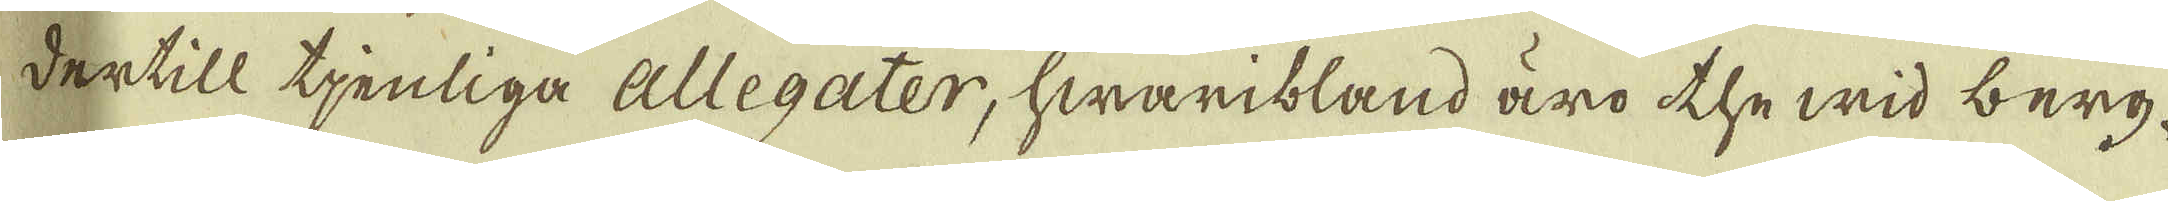dertill tjenliga allegater, hwaribland äro the wid berg-
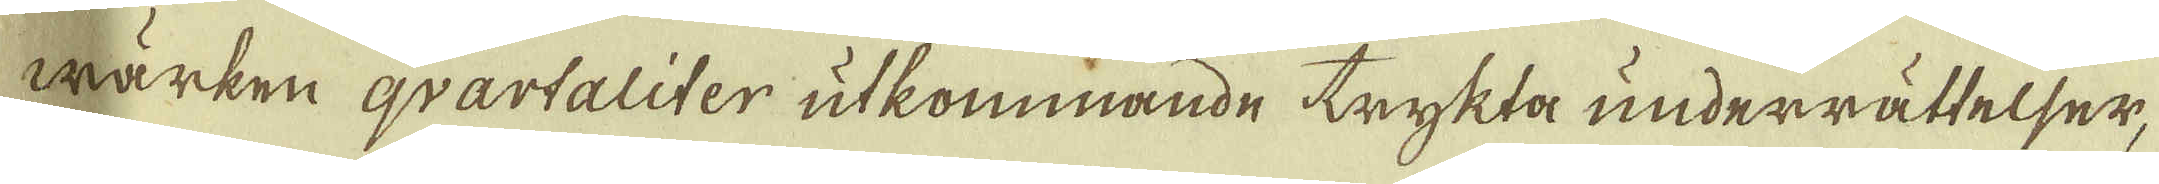wärken qvartaliter utkommande trykta underrättelser,
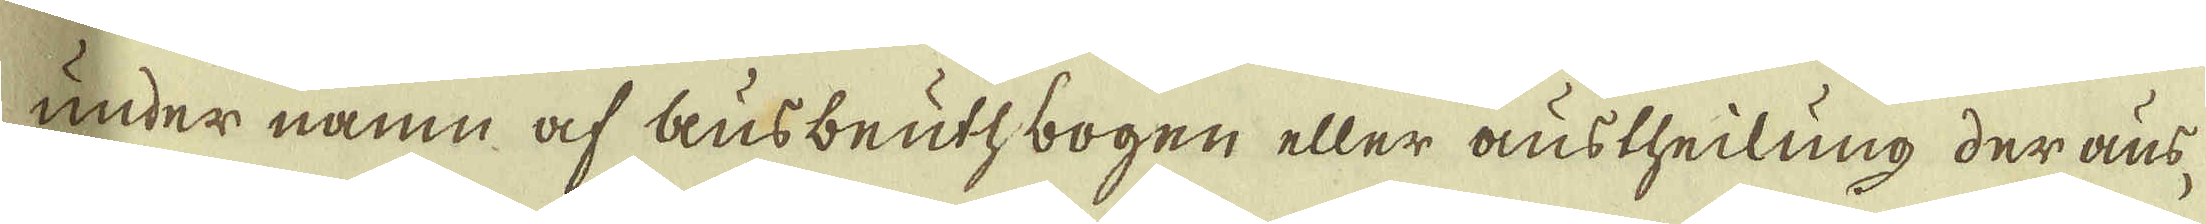under namn af ausbeuthbogen eller austheilung der aus-
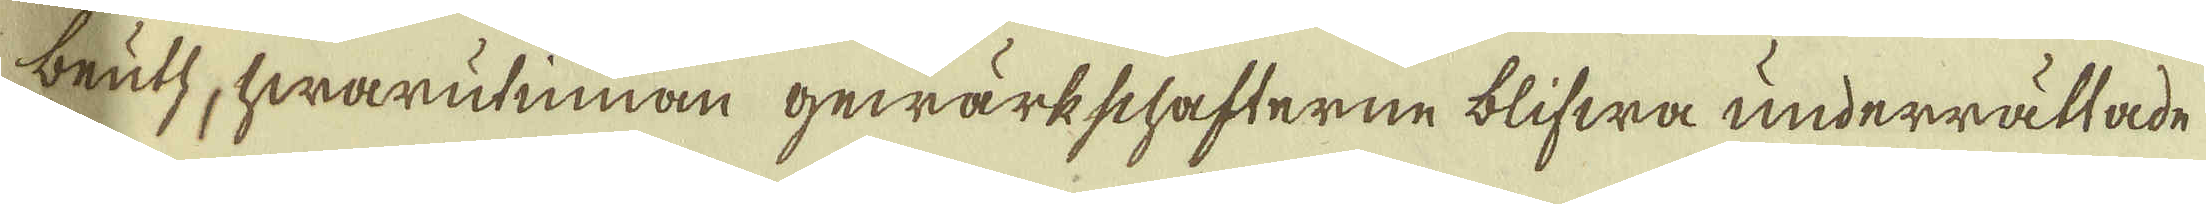beutz, hwarutinnan gewärkschafterne blifwa underrättade
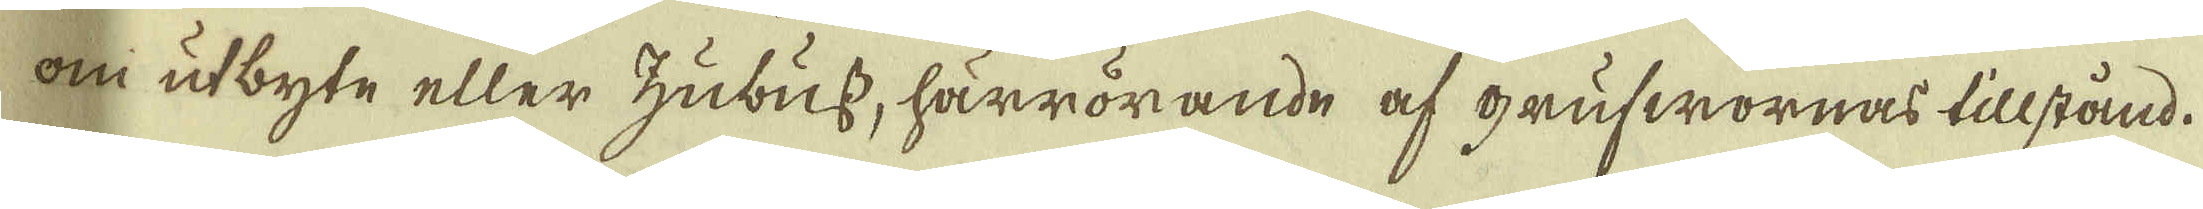om utbyte eller hubuss, härrörande af grufwornas tillstånd.
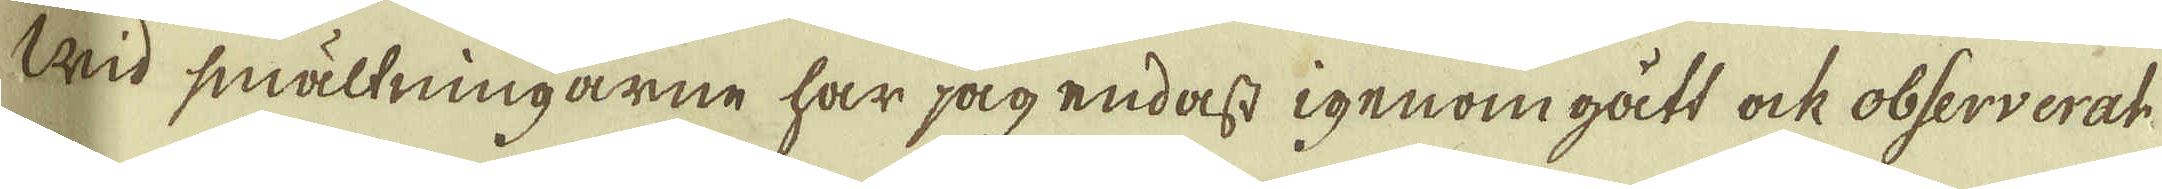Wid smältningarne har jag endast igenom gått ock observerat
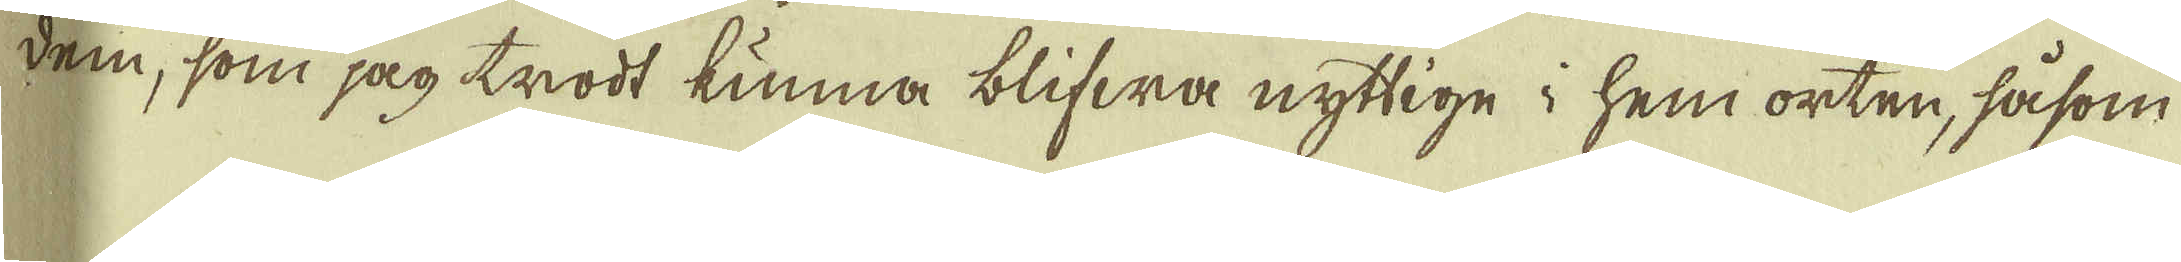dem, som jag trodt kunna blifwa nyttige i hem orten, såsom
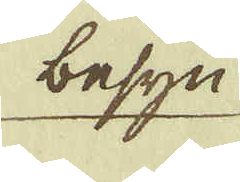besyn
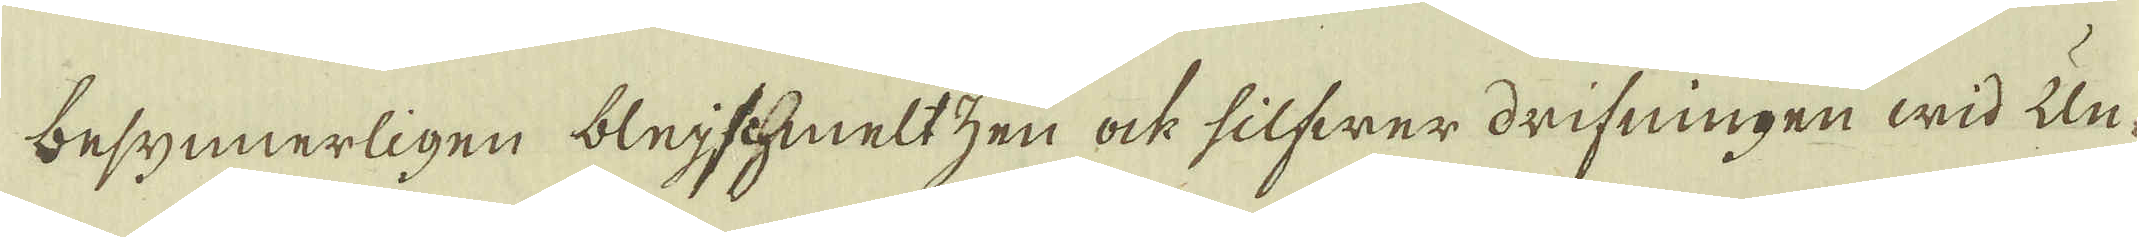besynnerligen blejschmeltzen ock silfwer drifningen wid Un-
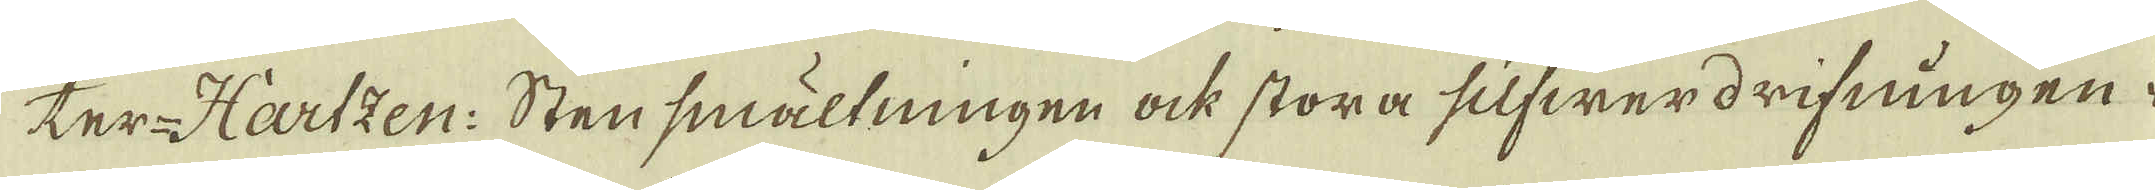ter-Hartzen: Stensmältningen ock stora silfwerdrifningen i
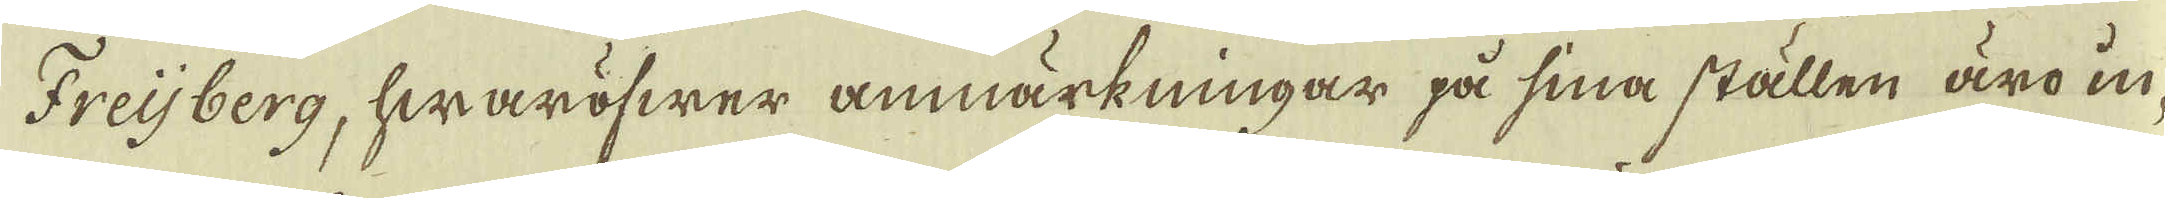Freijberg, hwaröfwer anmärkningar på sina ställen äro in-
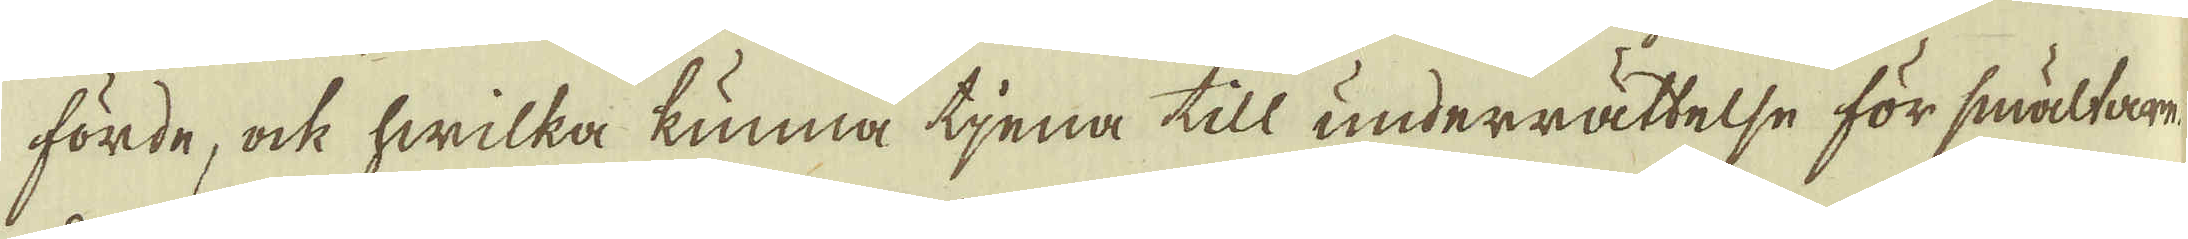förde, ock hwilka kunna tjena till underrättelse för smältarne.
